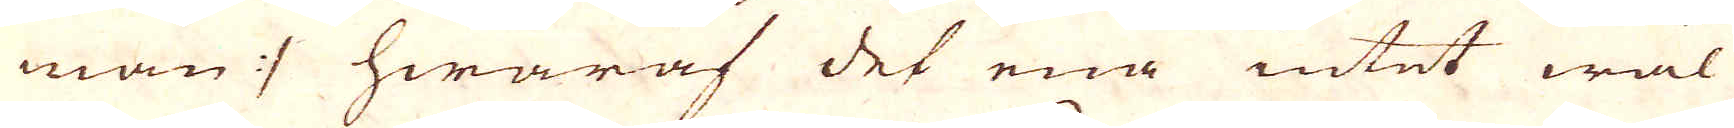man :/ hwaraf det ena intet wäl
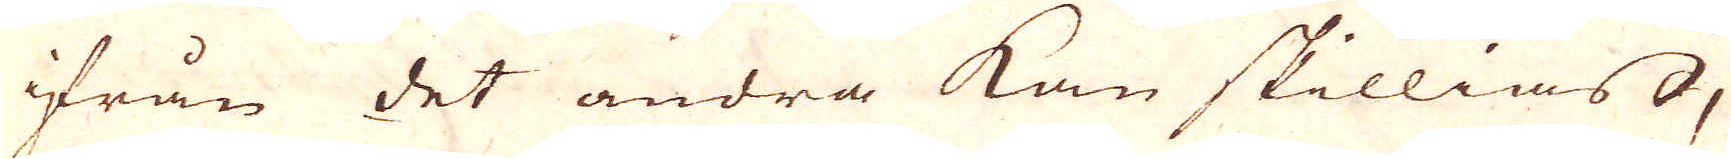ifrån det andra kan skillias,
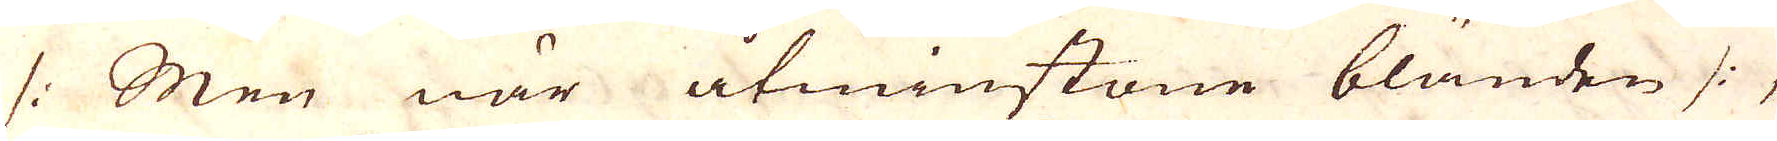/: Men när åtminstone bländen /:,
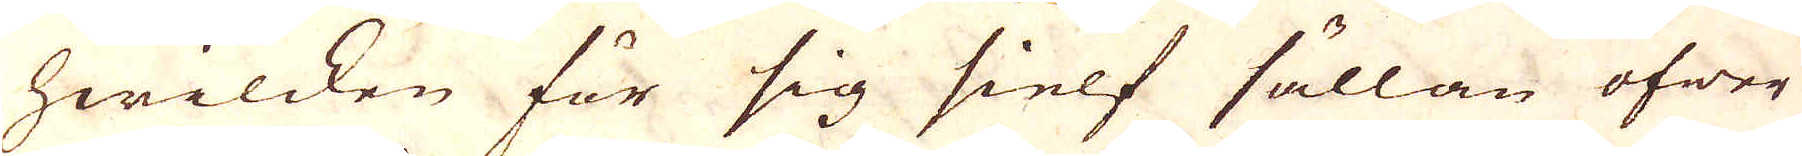hwilcken för sig sielf sällan öfwer
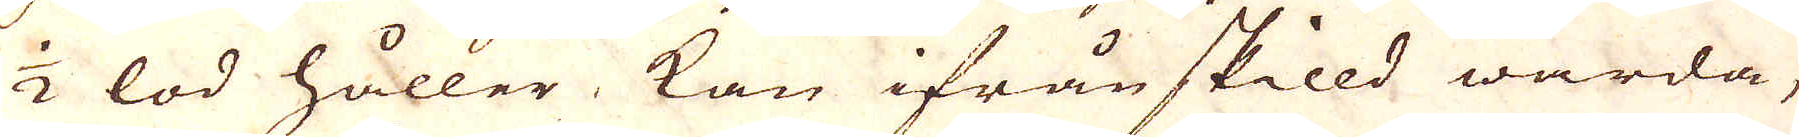1/2 lod håller kan ifrånskilld warda,
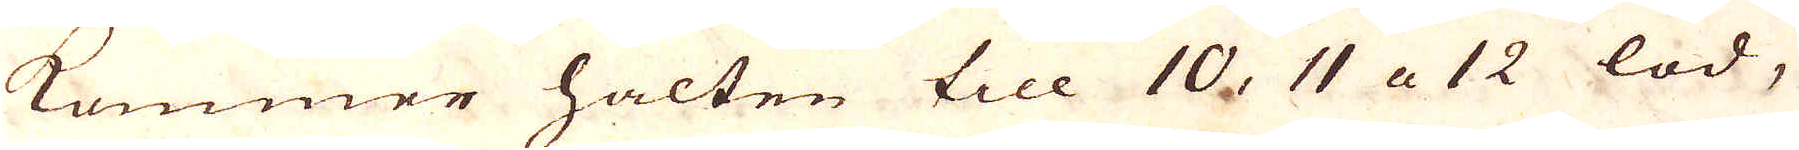kommer halten till 10, 11 a 12 lod,
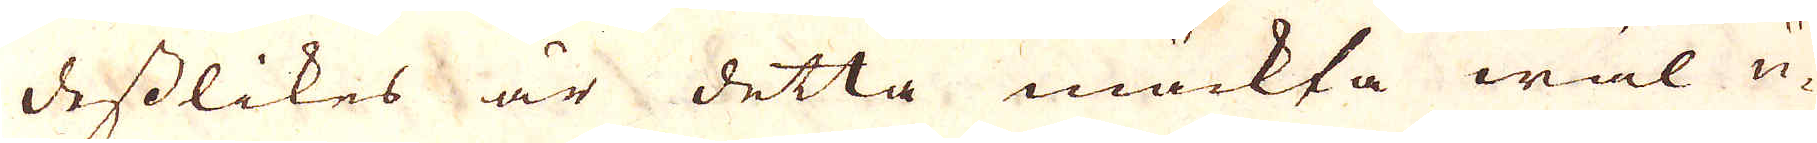desslikes är detta mäckta wäl u-
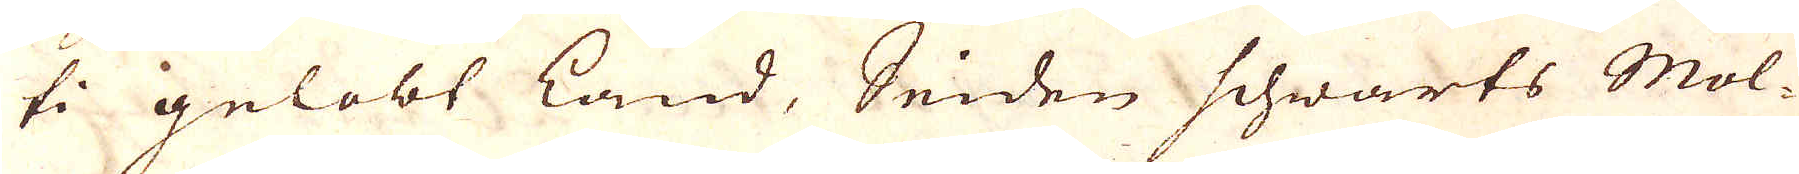ti gelobt land, Sniden schwarts Mol-
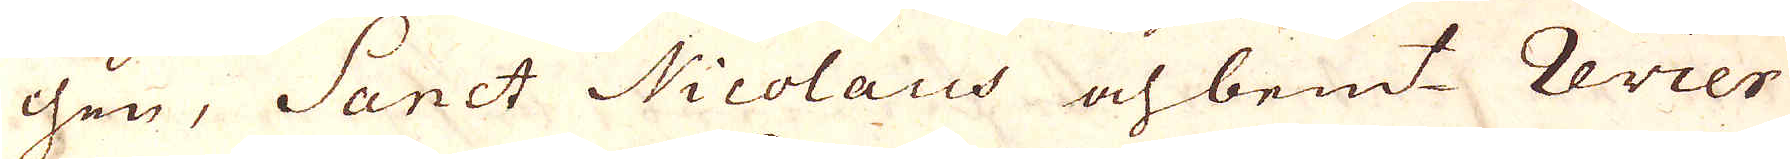chen, Sanct Nicolaus och bem:t revier
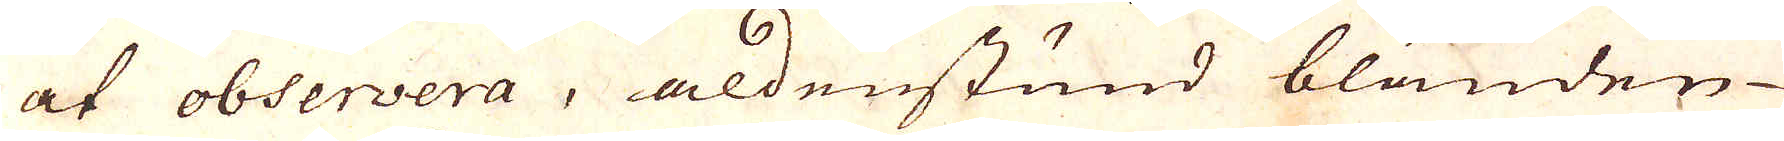at observera, aldenstund bländen
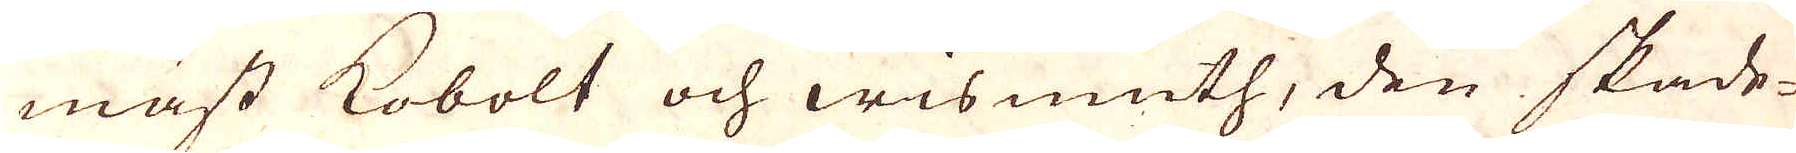mäst kobolt och wismuth, den skade-
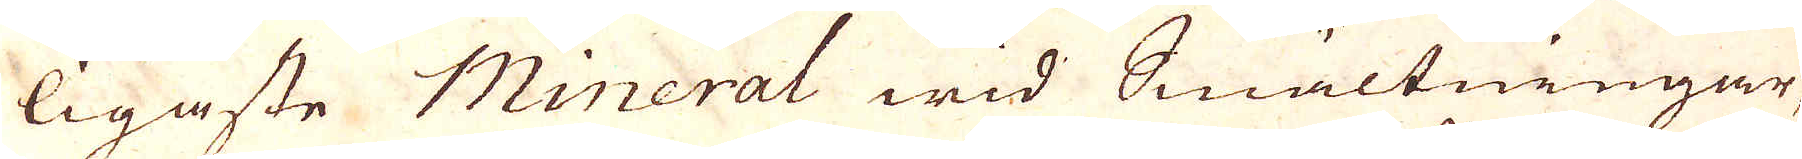ligaste Mineral wid Smältningar,
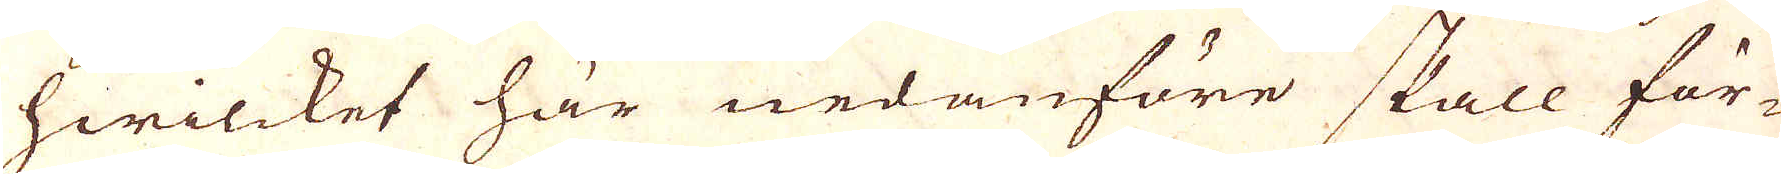hwilcket här nedanföre skall för-
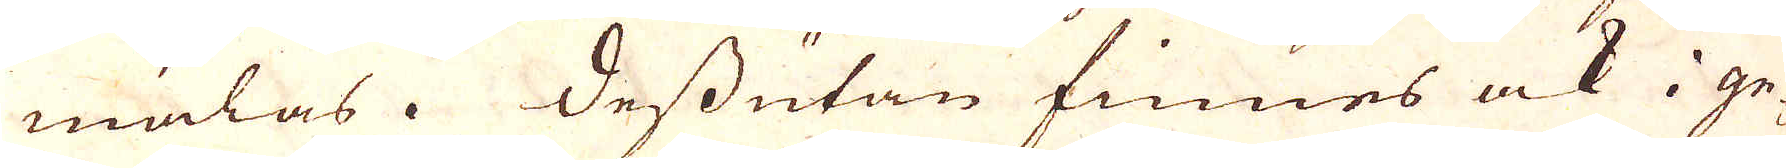mälas. Dessutan finnes ock i ge-
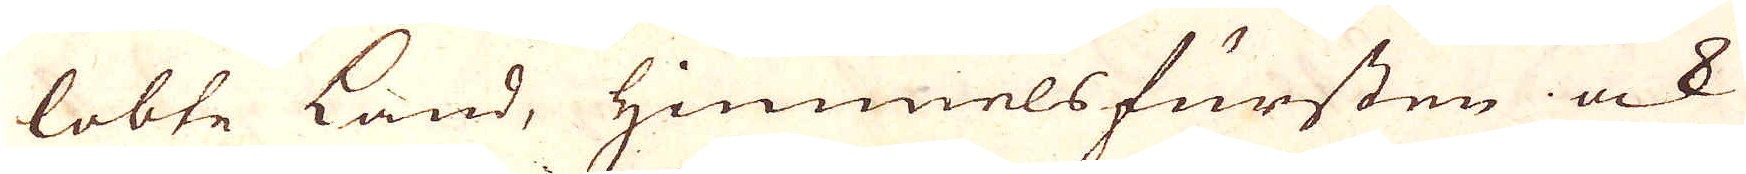lobte Land, Himmelsfursten ock
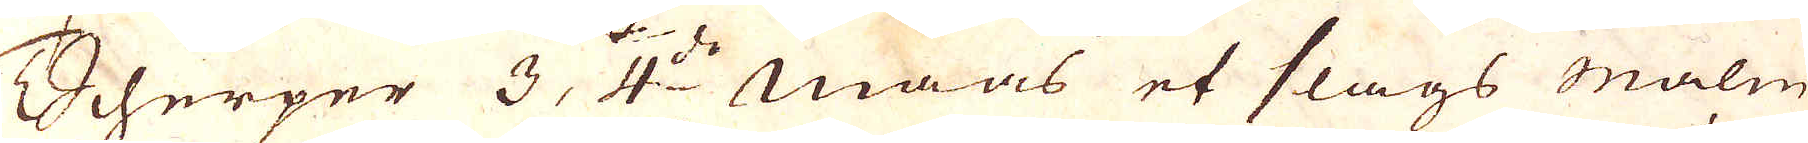Scherper 3, 4:de Maas et slags malm
